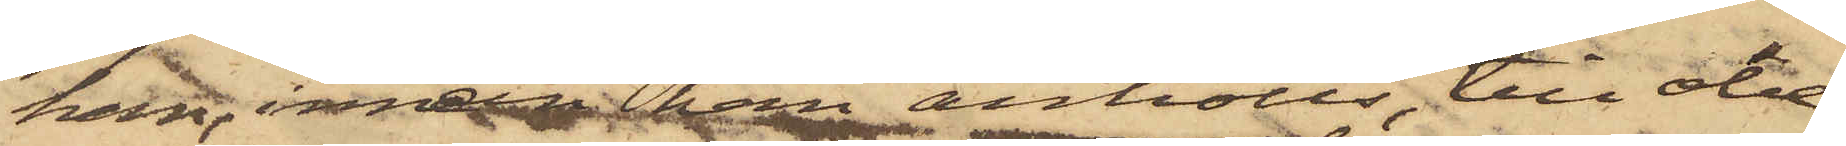han, innan han anhölls, till obe¬
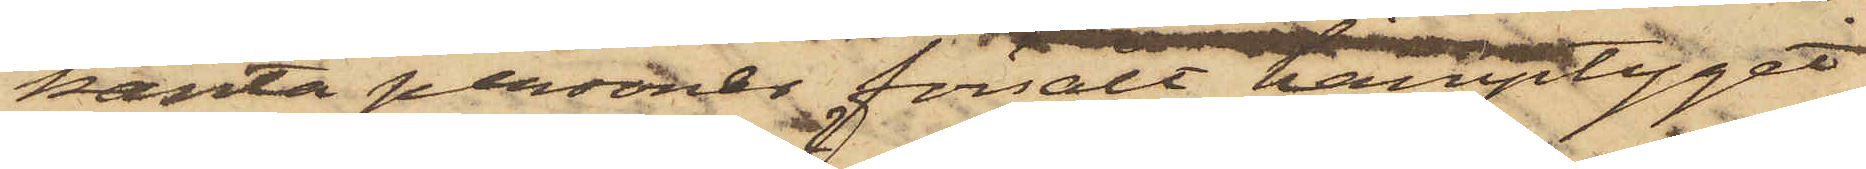kanta personer försålt hamptyget
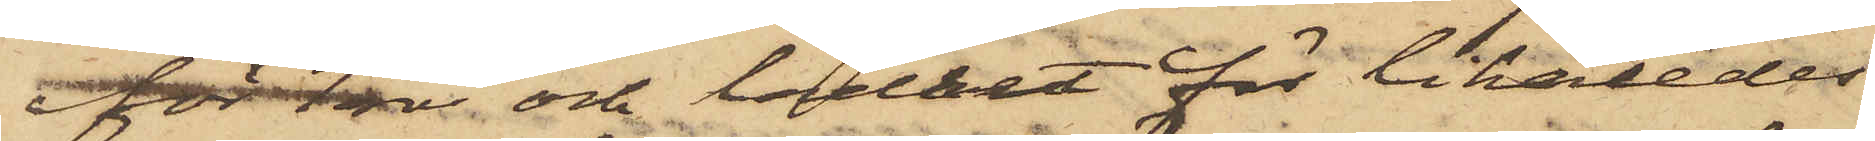för 1 rdr och lädret för likaledes
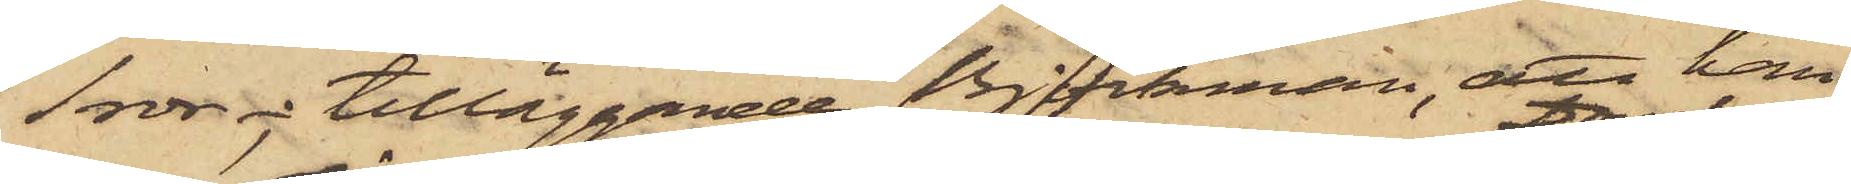1 rdr; tilläggande Björkman, att han
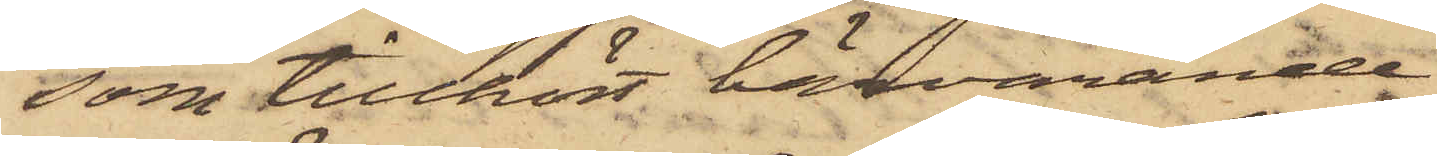som tillhört härvarande
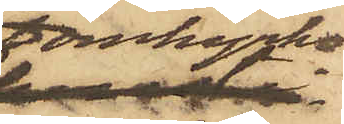Domkyrko
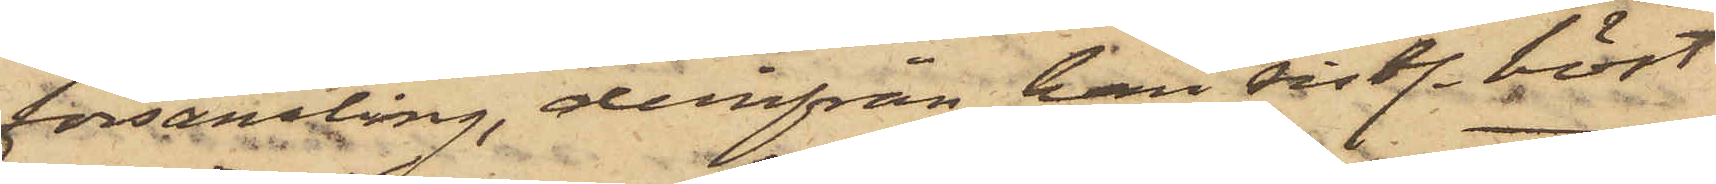församling, derifrån han sistl. höst
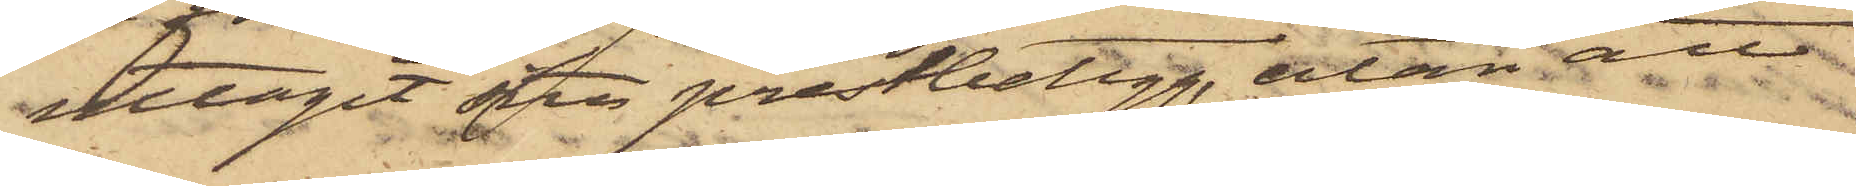uttagit sitt prestbetyg, utan att
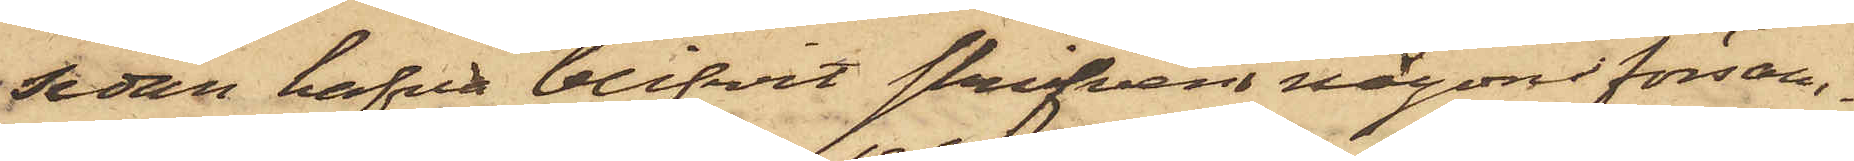sedan hafva blifvit skrifven i någon försam¬
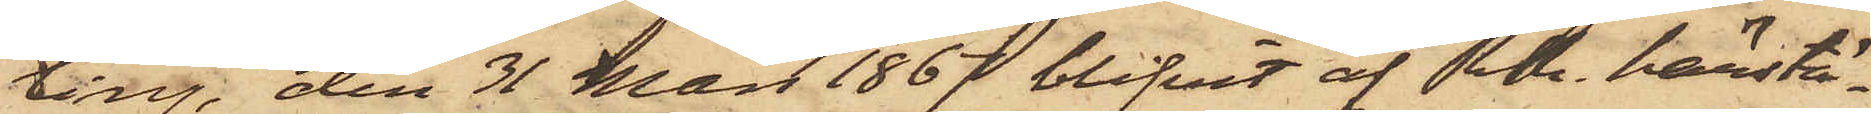ling, den 31 Mars 1867 blifvit af RR. härstä¬
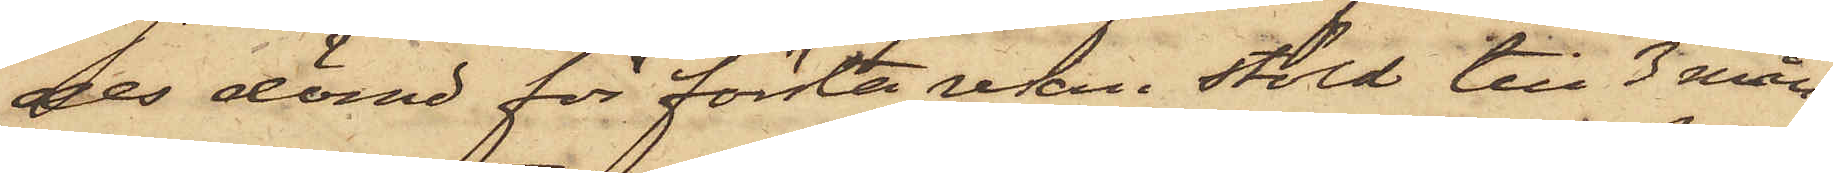des dömd för första resan i stöld till 3 mån.
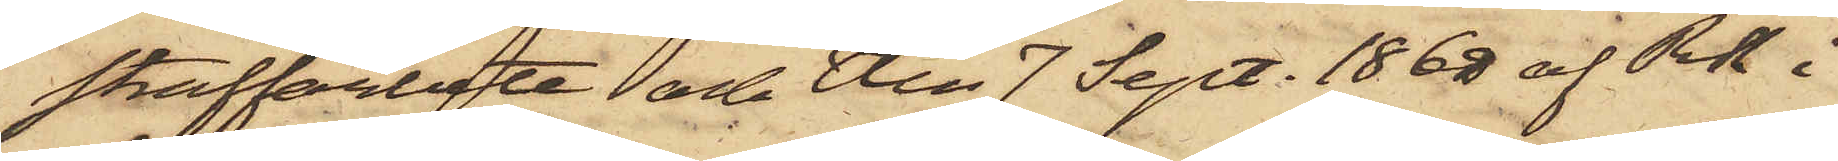straffarbete och den 7 Sept. 1868 af RR i
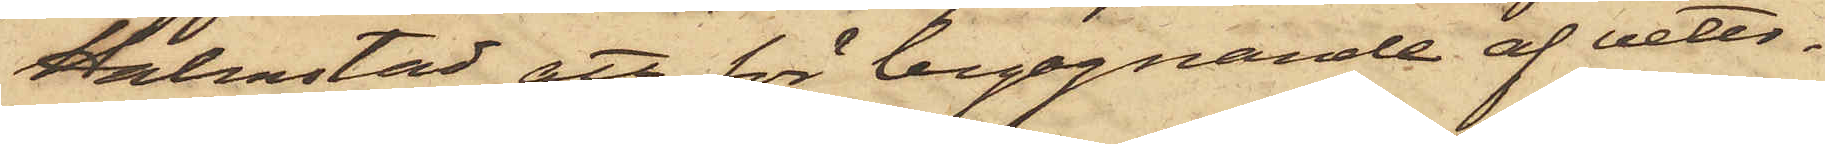Halmstad att för begagnande af veter¬
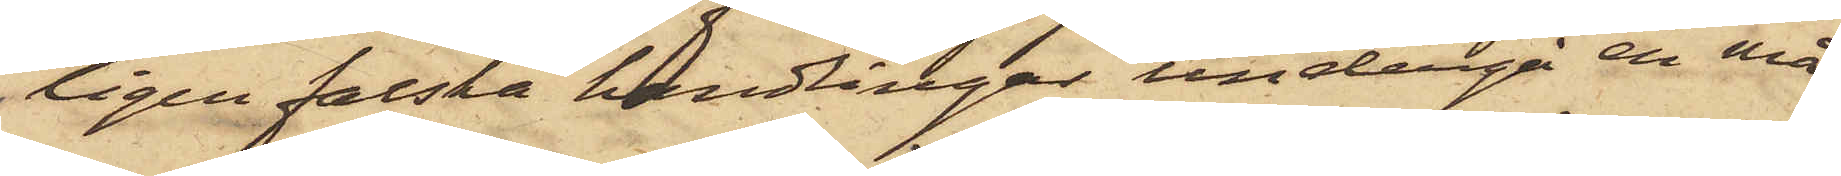ligen falska handlingar undergå en må¬
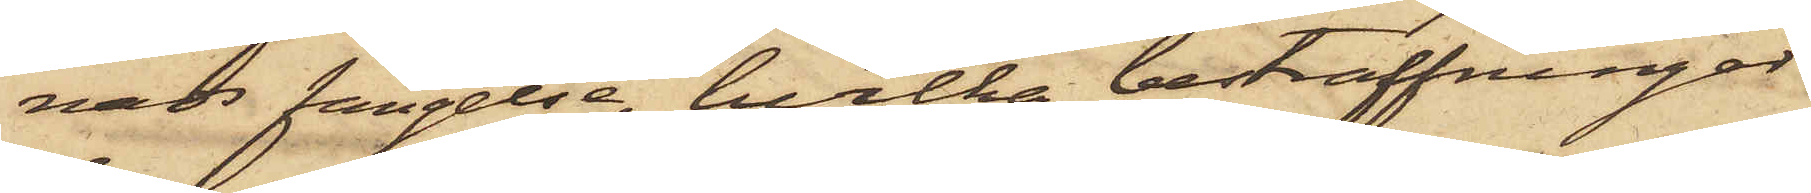nads fängelse, hvilka bestraffningar
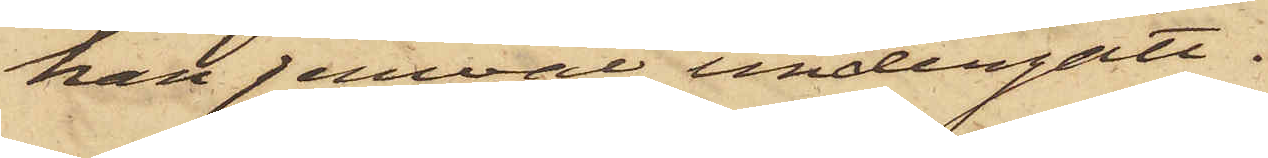han jemväl undergått.
